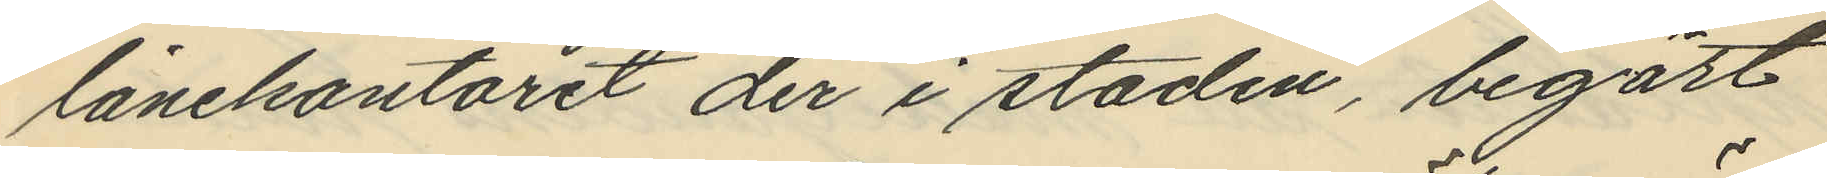lånekontoret der i staden, begärt
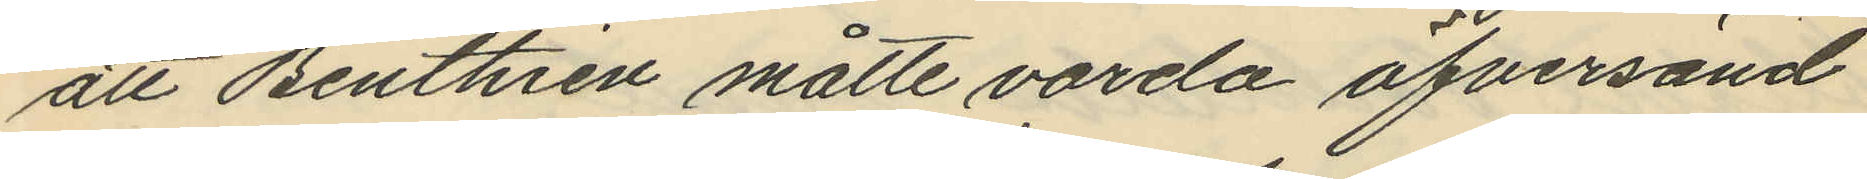att Benthien måtte varda öfversänd
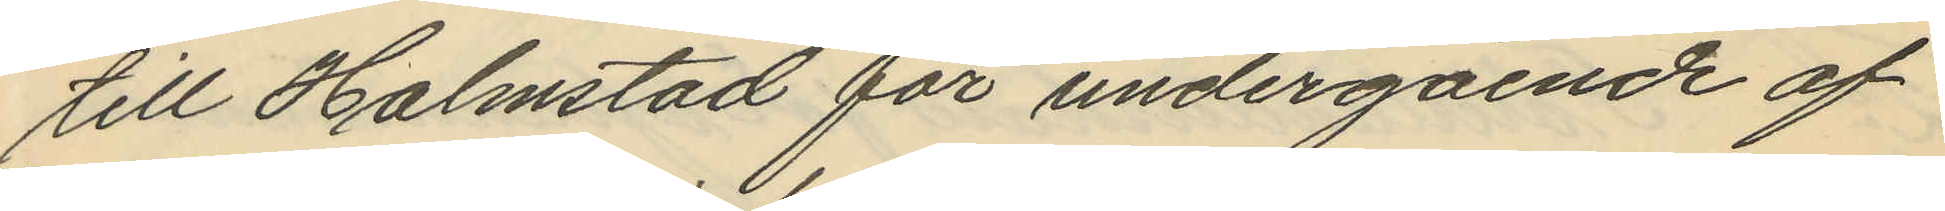till Halmstad för undergående af
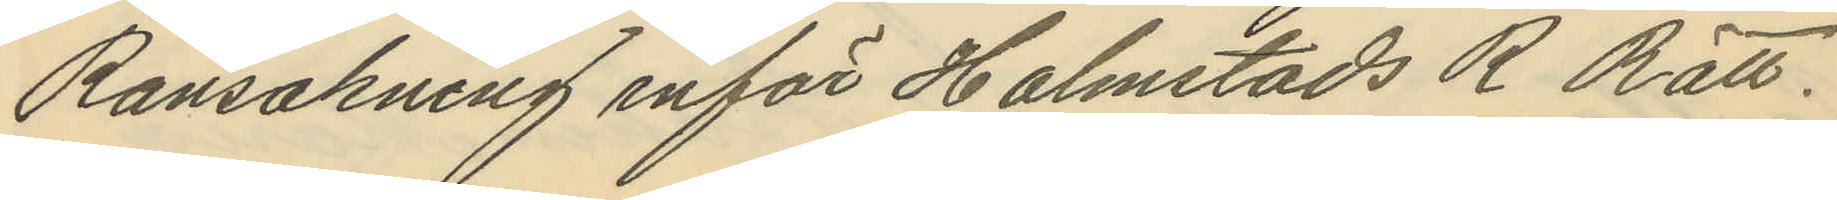Ransakning inför Halmstads R Rätt.
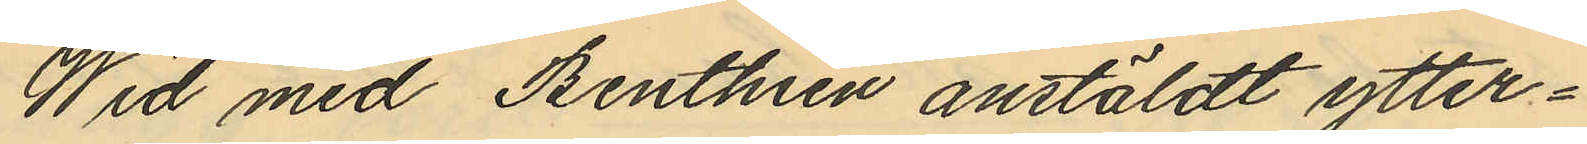Wid med Benthren anstäldt ytter¬
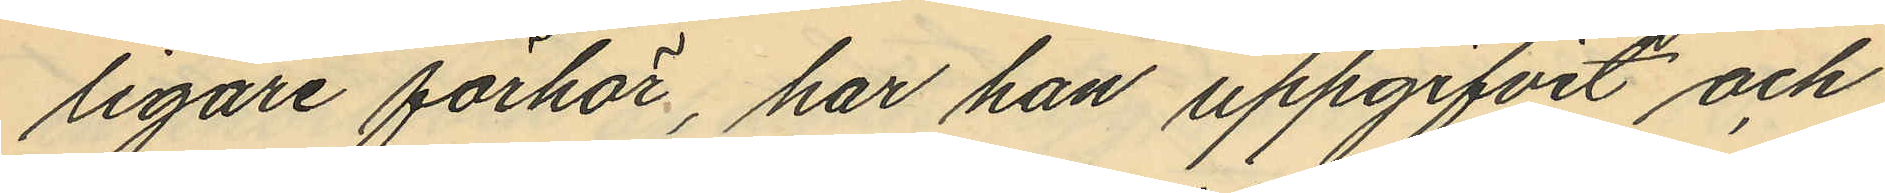ligare förhör, har han uppgifvit och
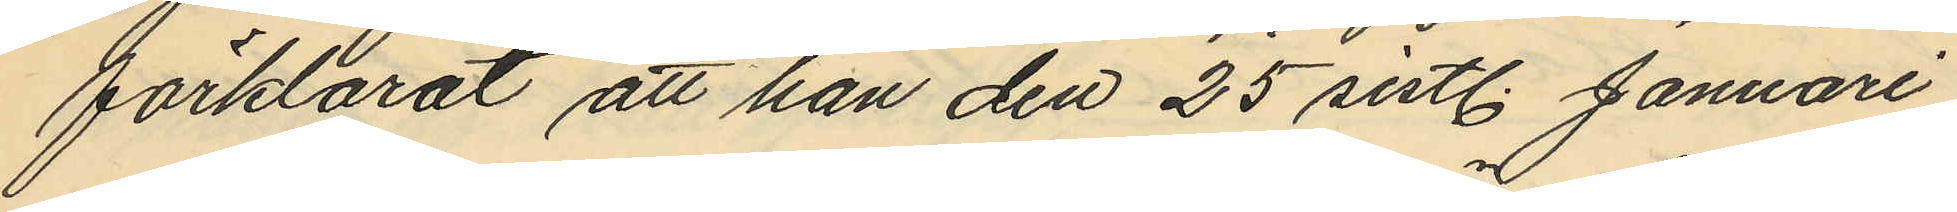förklarat att han den 25 sistl. Januari
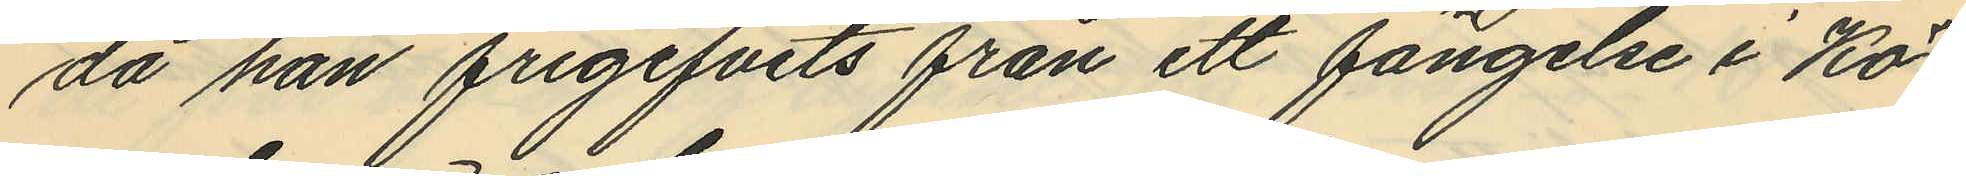då han frigifvits från ett fängelse i Kö¬
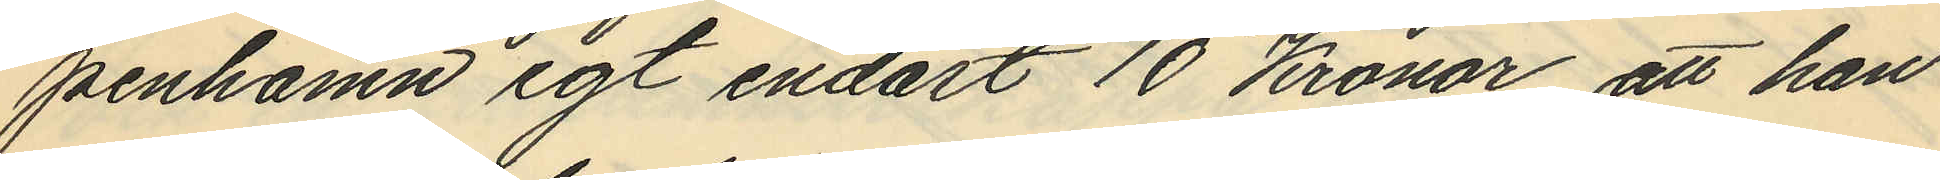penhamn egt endast 10 Kronor, att han
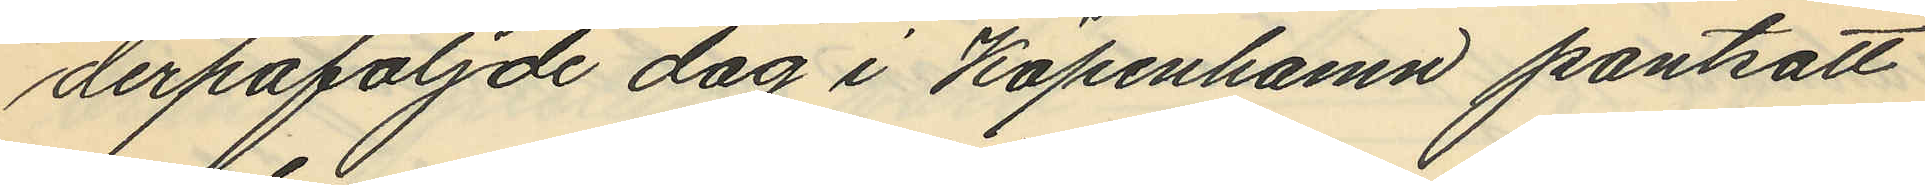derpåföljde dag i Köpenhamn pantsatt
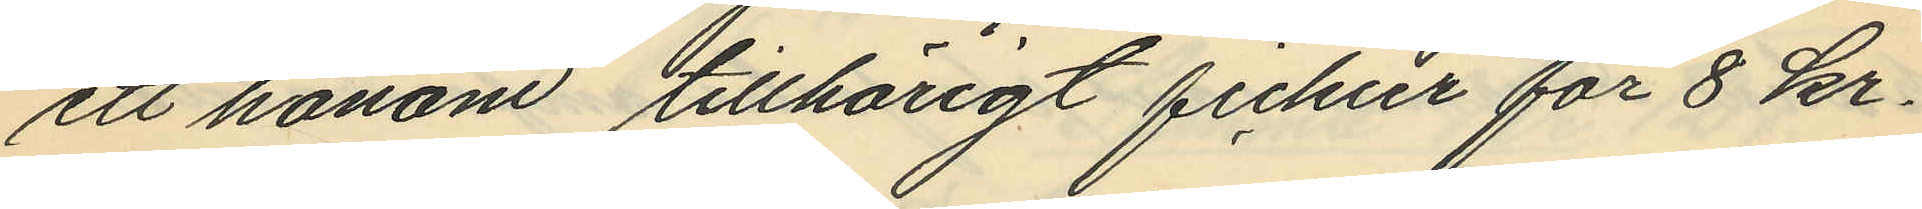ett honom tillhörigt fickur för 8 kr.
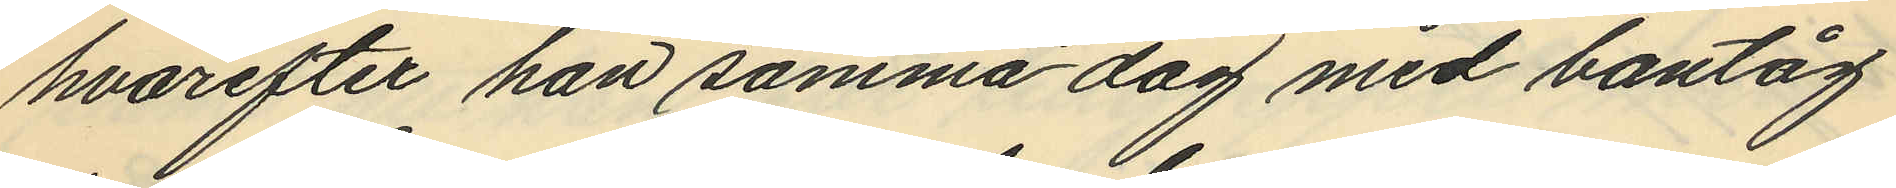hvarefter han samma dag med bantåg
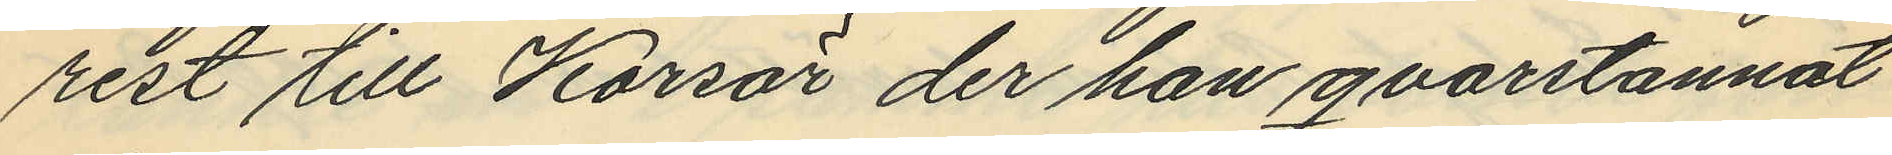rest till Korsör der han qvarstannat
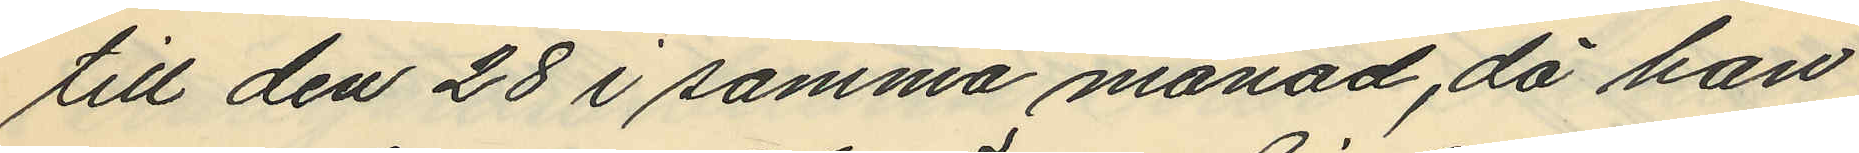till den 28 i samma månad, då han
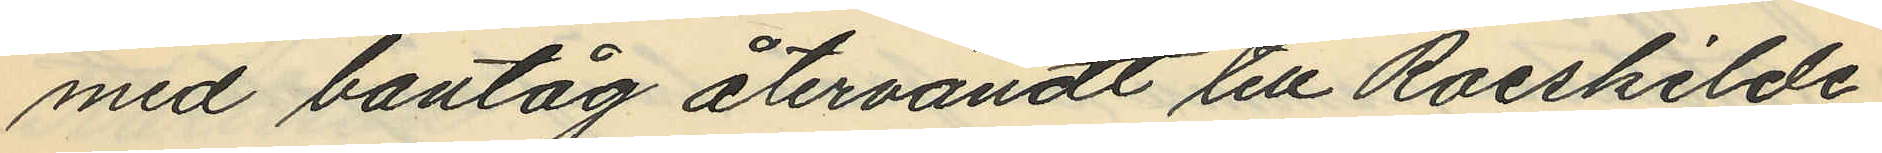med bantåg återvändt till Roeskilde,
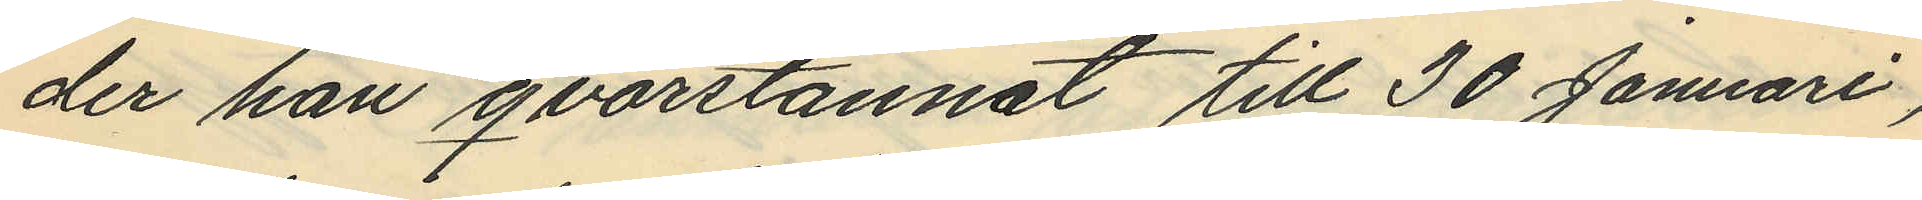der han qvarstannat till 30 Januari,
